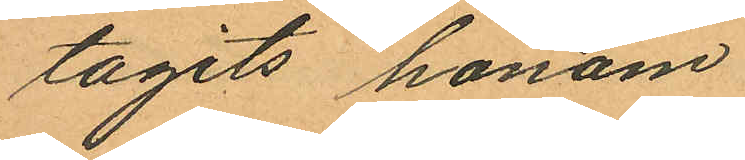tagits honom
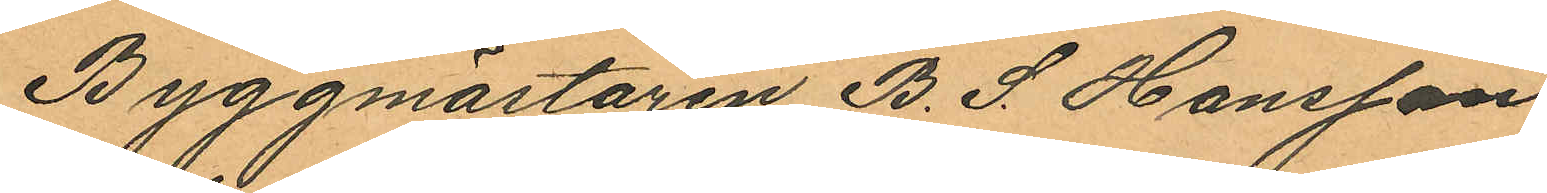Byggmästaren B. S. Hansson
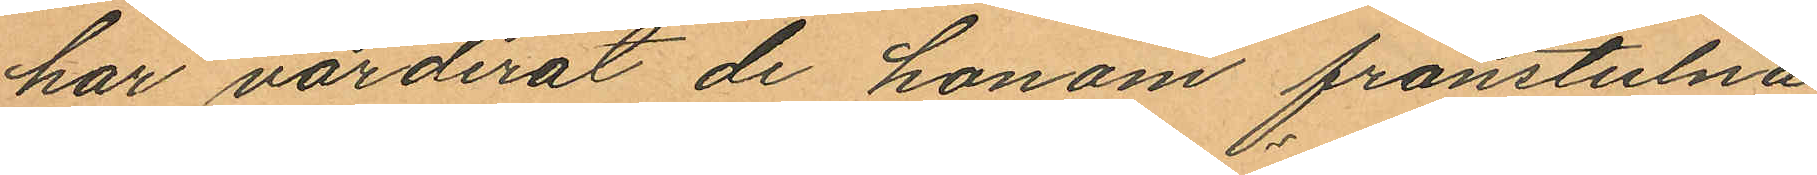har värderat de honom frånstulna
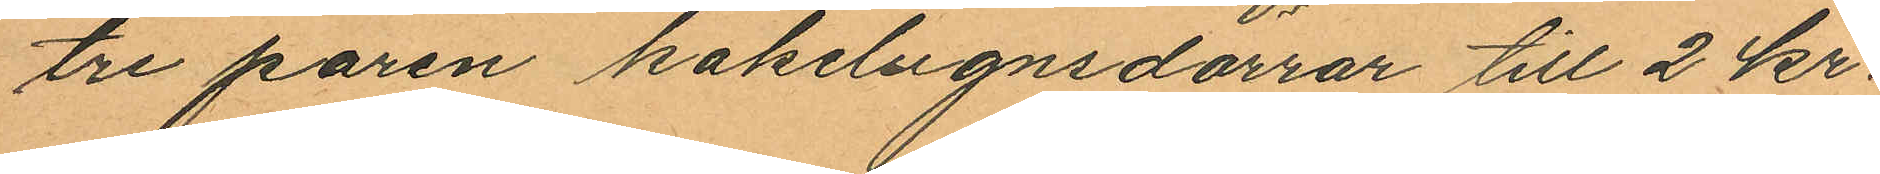tre paren kakelugnsdörrar till 2 kr.
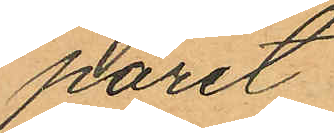paret.
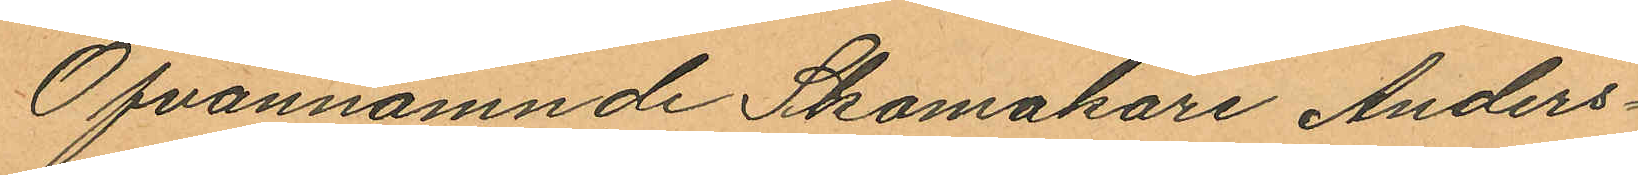Ofvannämnde Skomakare Anders¬
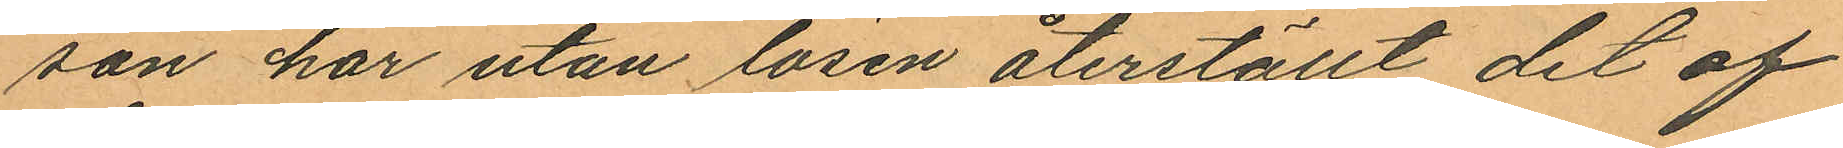son har utan lösen återställt det af
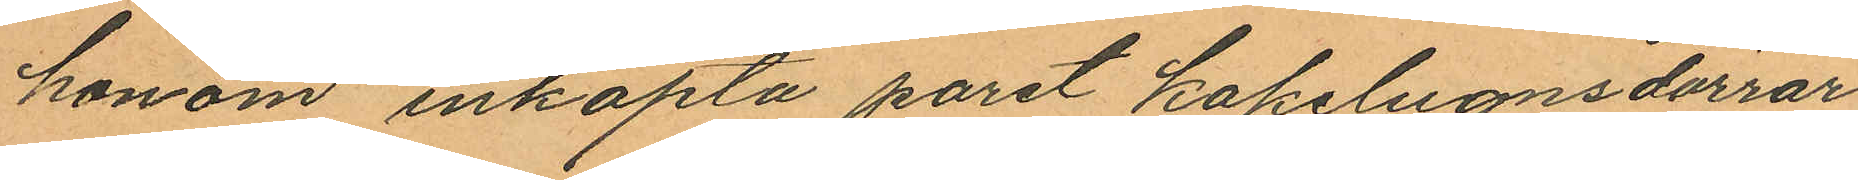honom inköpta paret kakelugnsdörrar
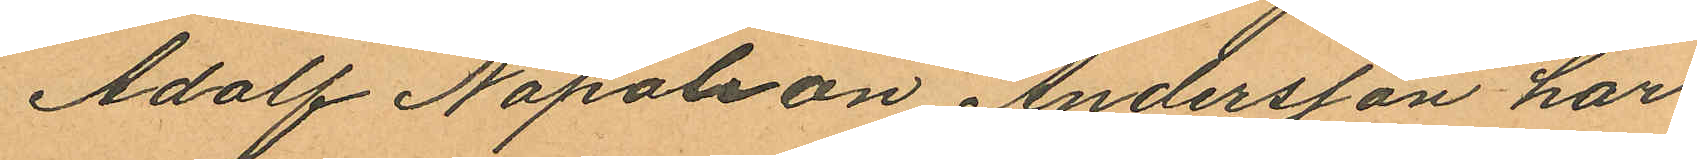Adolf Napoleon Andersson har
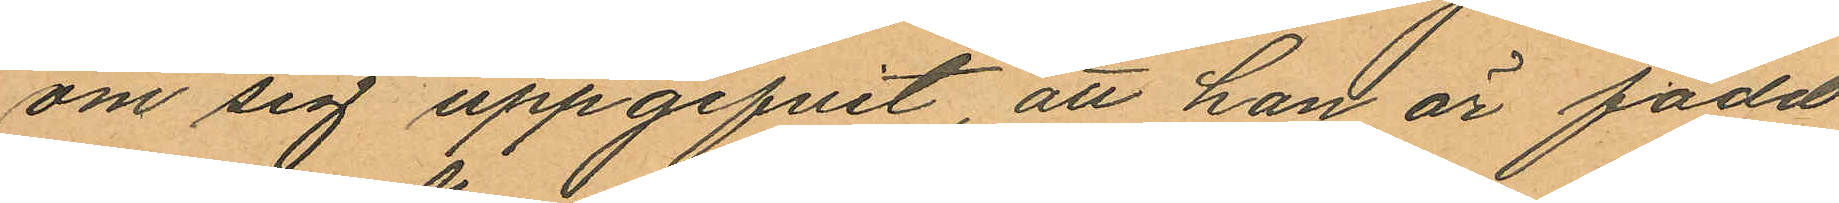om sig uppgifvit att han är född
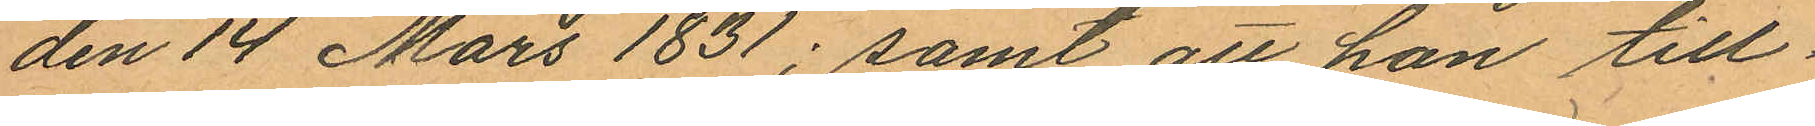den 14 Mars 1831; samt att han till¬
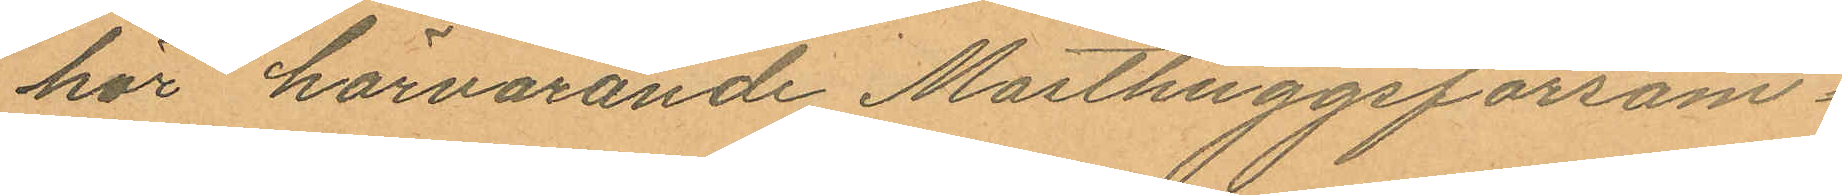hör härvarande Masthuggsförsam¬
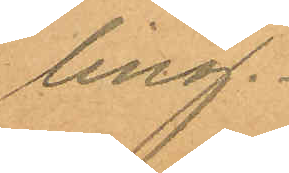ling.
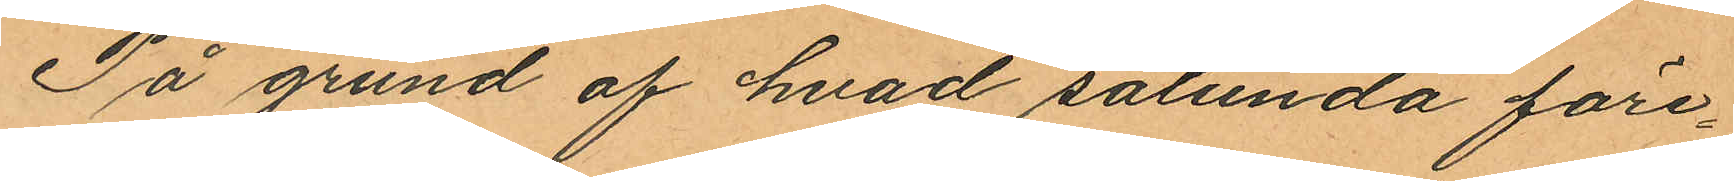På grund af hvad sålunda före¬
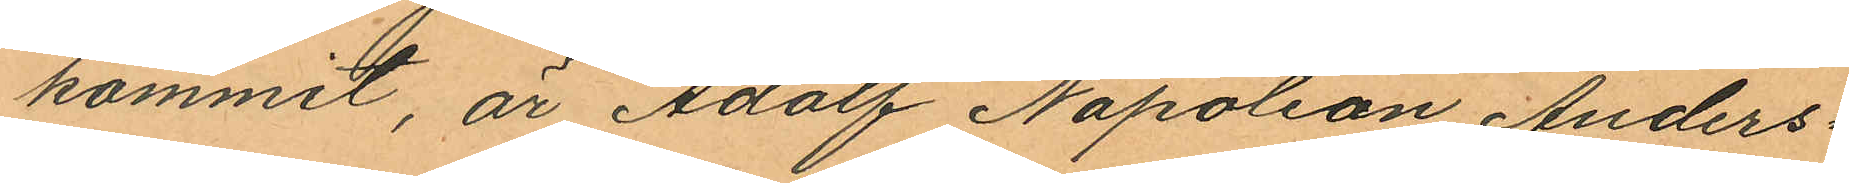kommit, är Adolf Napoleon Anders¬
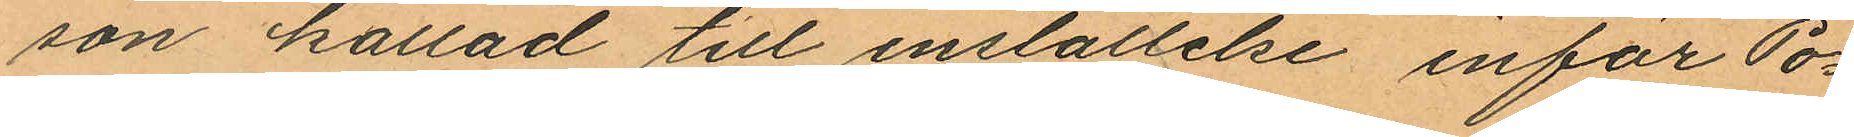son kallad till inställelse inför Po¬
